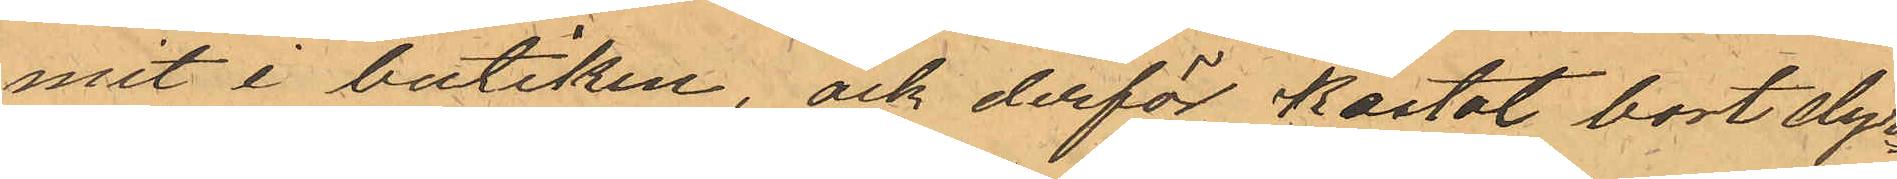mit i butiken, ock derför kastat bort dyr¬
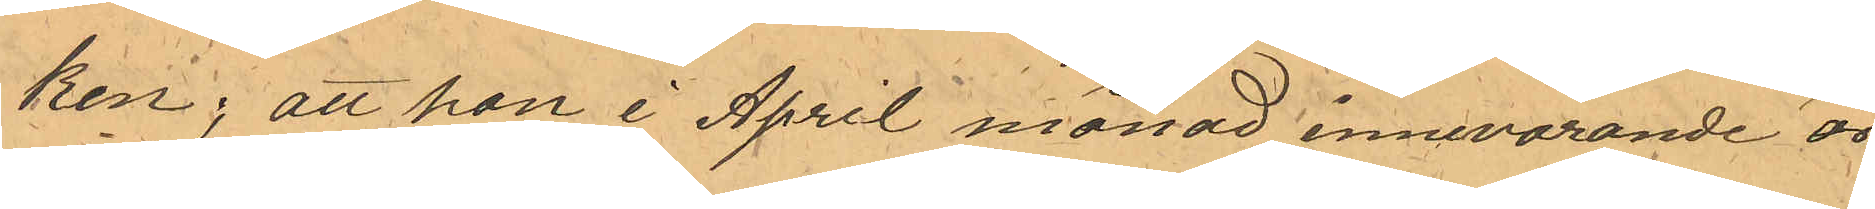ken; att han i April månad innevarande år
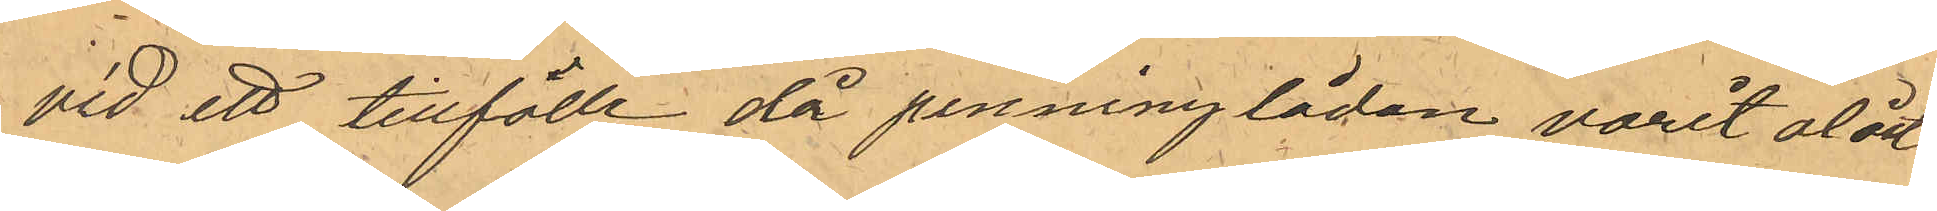vid ett tillfälle då penninglådan varit olåst
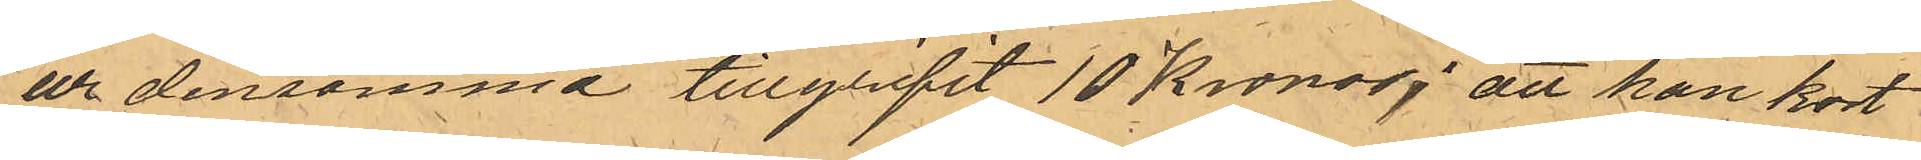ur densamma tillgripit 10 Kronor; att han kort
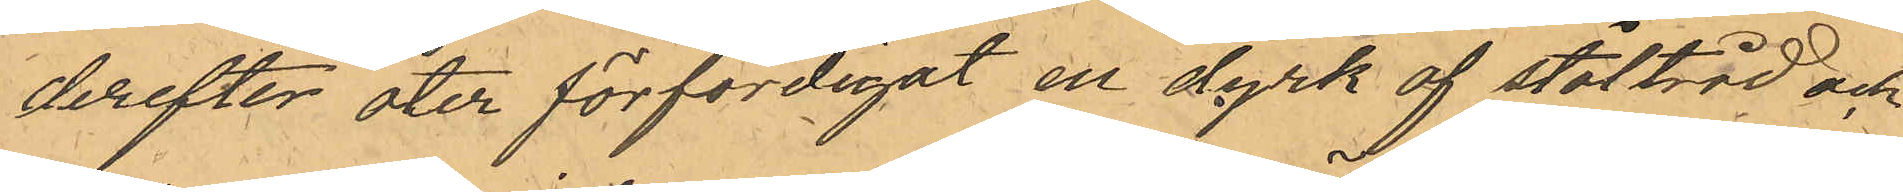derefter åter förfärdigat en dyrk af ståltråd och
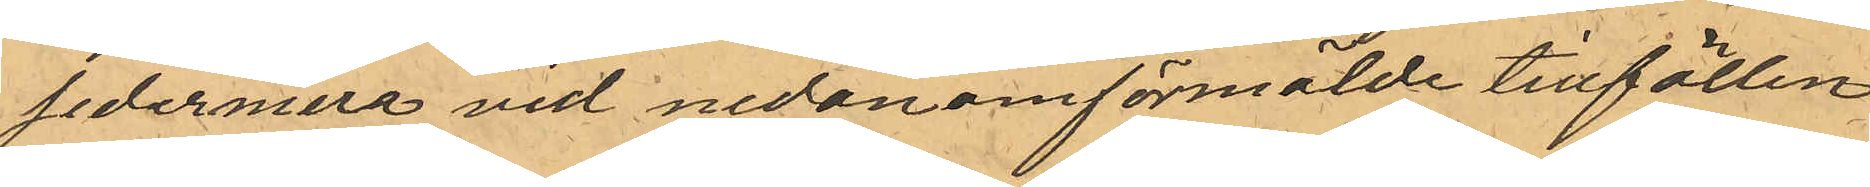sedermera vid nedan omförmälde tillfällen
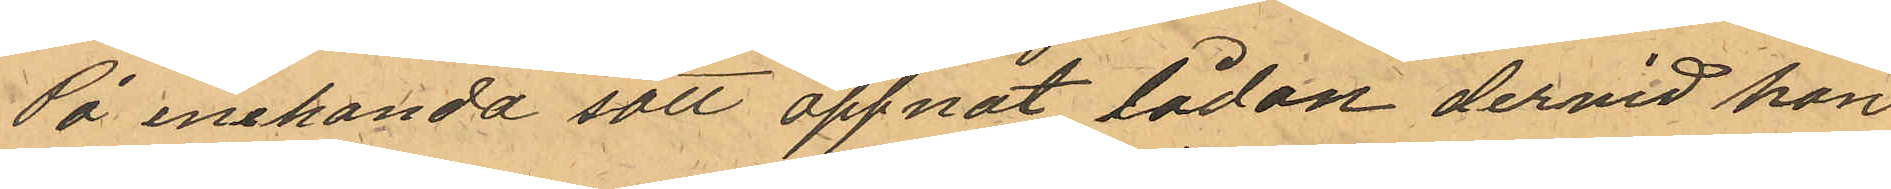På enehanda sätt öppnat lådan dervid han
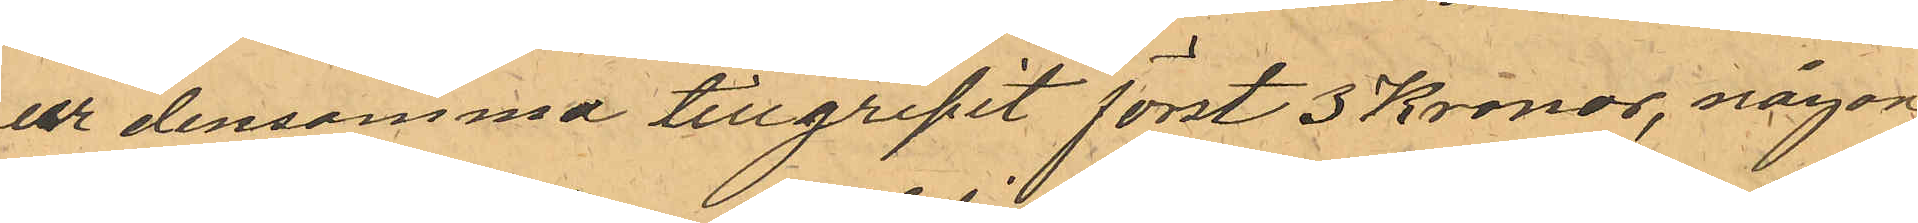ur densamma tillgripit först 3 Kronor, någon
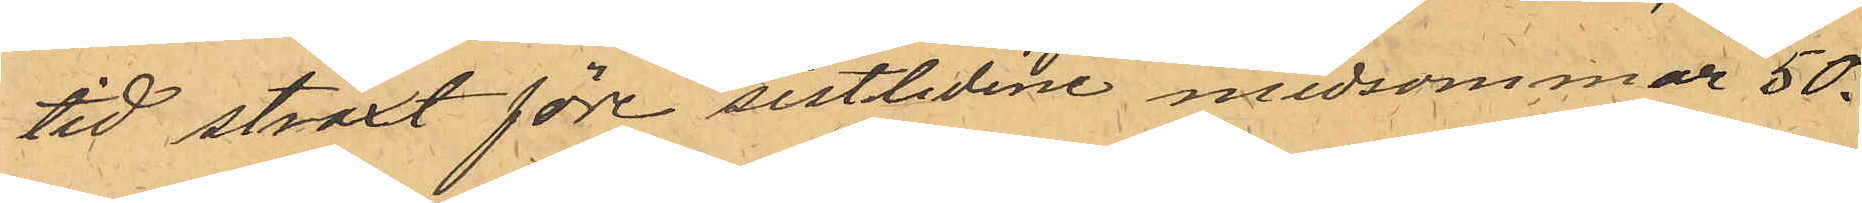tid straxt före sistlidne midsommar 50.
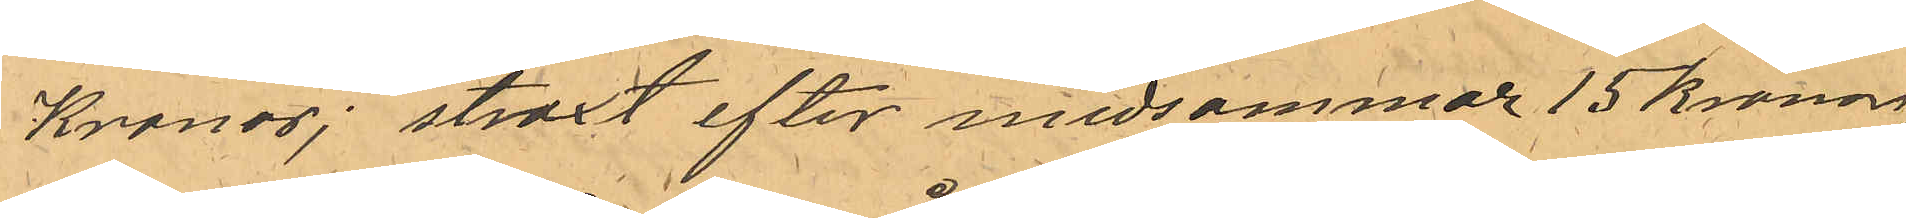Kronor; straxt efter midsommar 15 kronor,
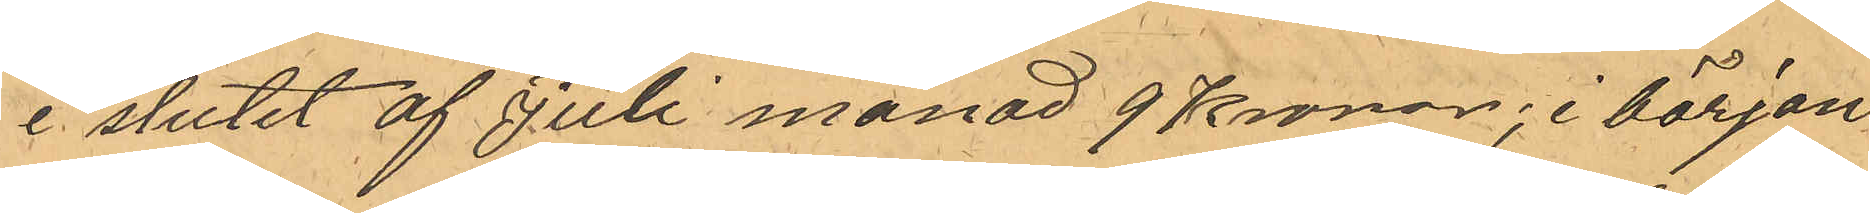i slutet af Juli månad 9 Kronor, i början
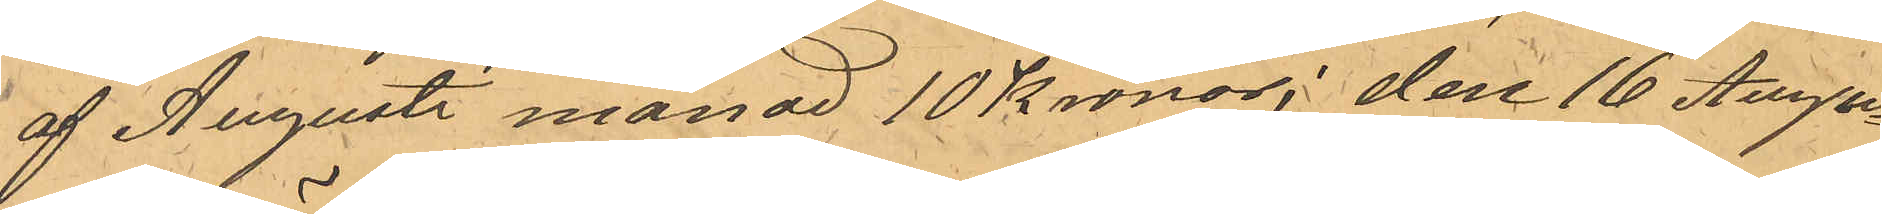af Augusti månad 10 Kronor, den 16 Augu¬
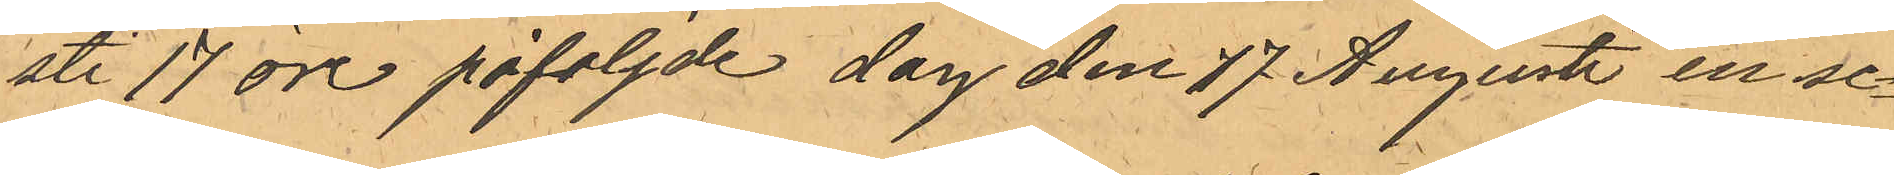uti 17 öre påfoljde dag den 17 Augusti en se¬
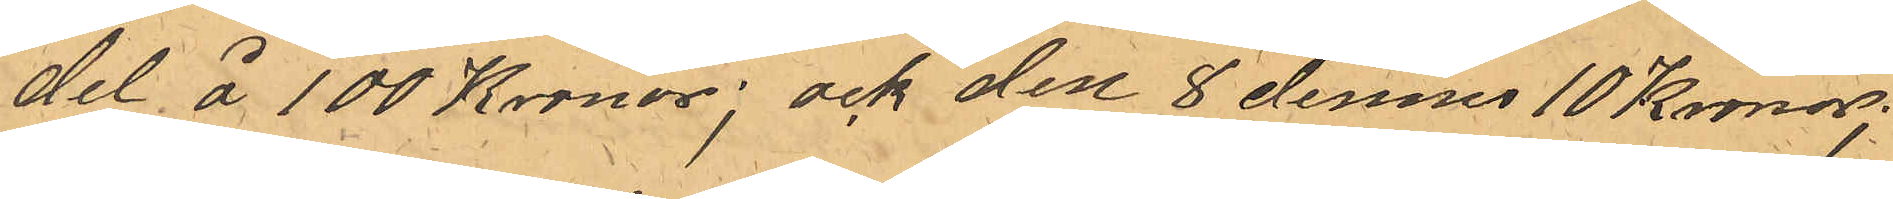del å 100 Kronor; ock den 8 dennes 10 Kronor;
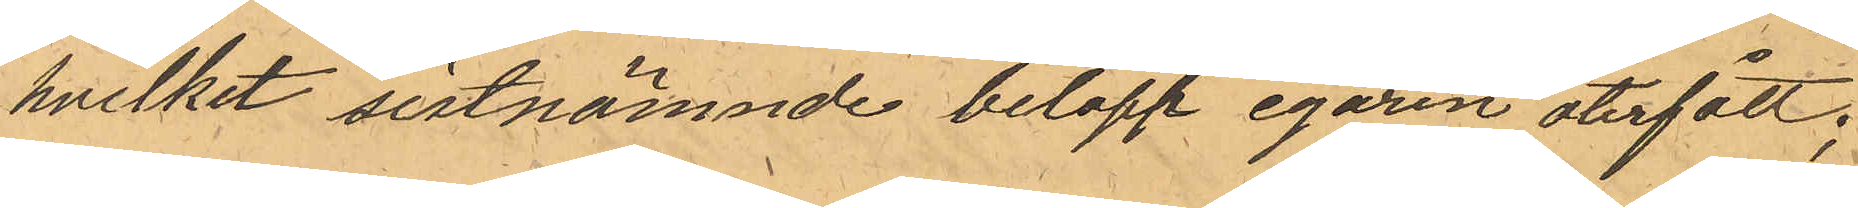hvilket sistnämnde belopp egaren återfått;
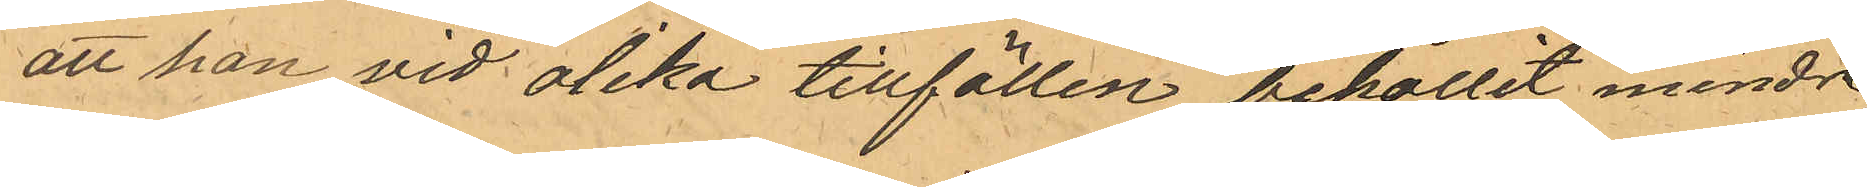att han vid olika tillfällen behållet mindre
